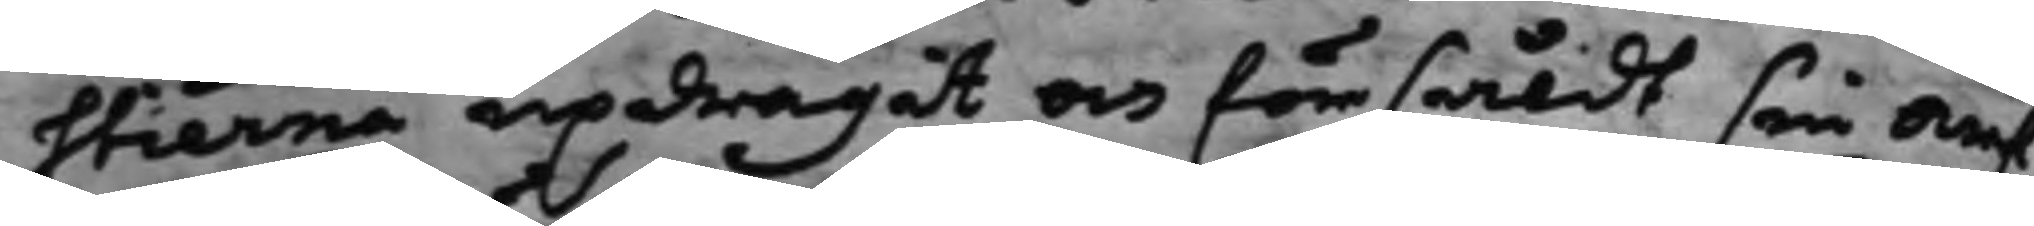stierna updragit och försåldt sin arf¬
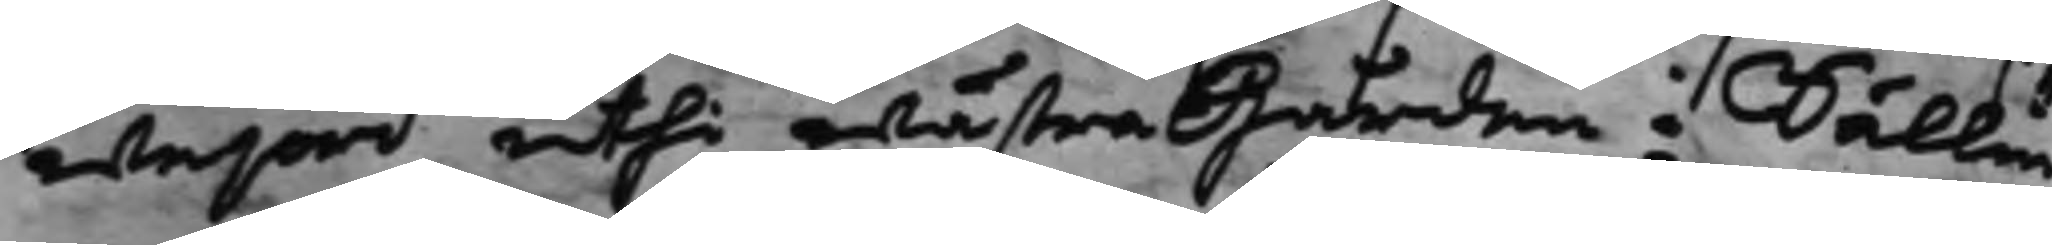wejord uthi wästra Gården i Sällin¬
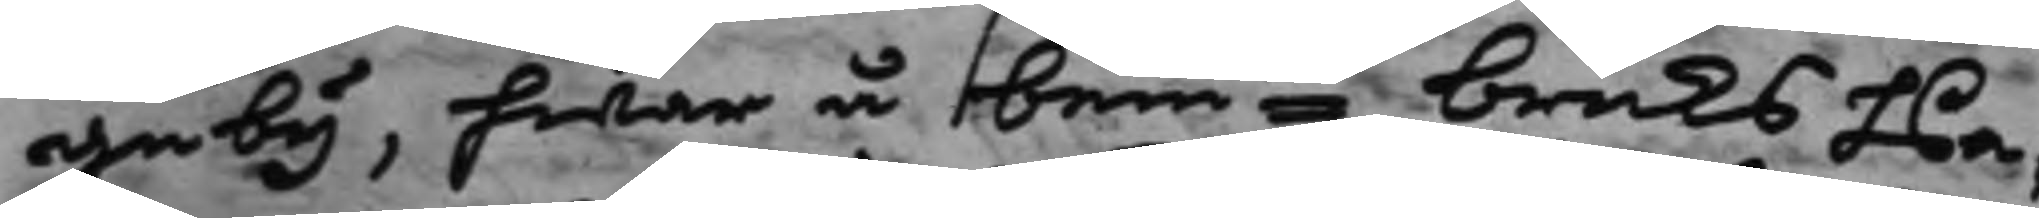ge by, hwar å bemte bruks Pa¬
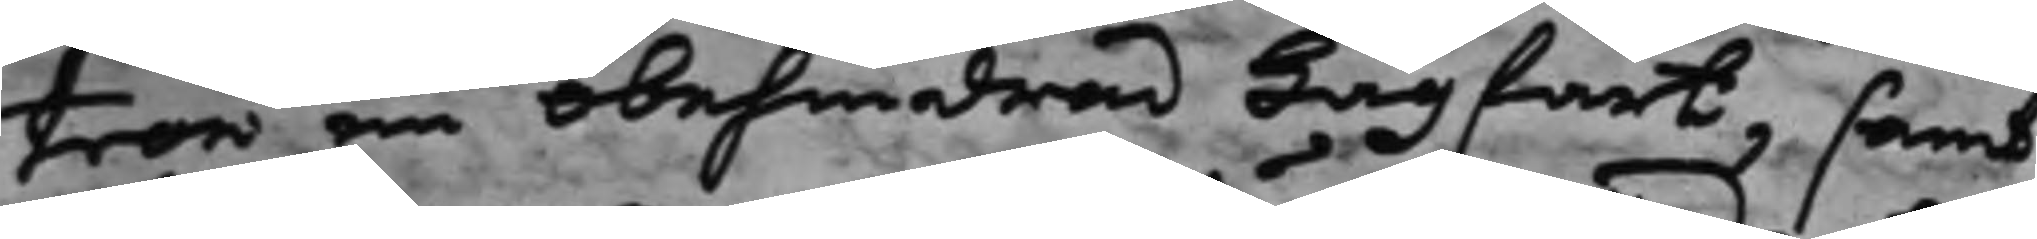tron en obehindrad Lagfart, samt
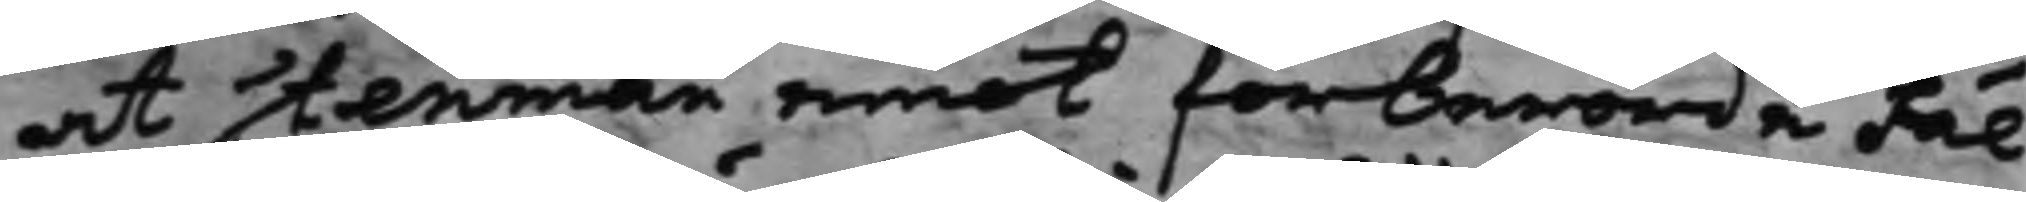at Stenman emot förberörde Fäl¬
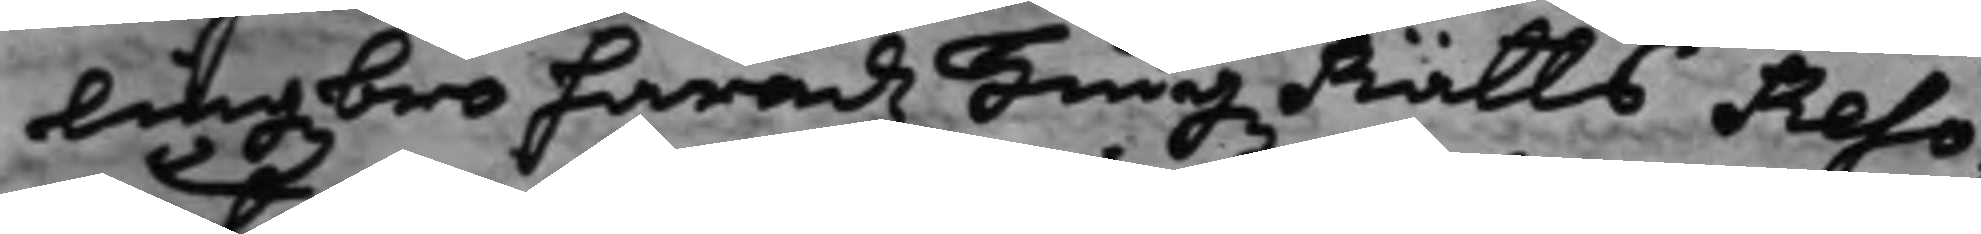lingzbro Häradz Tingz Rätts Reso¬
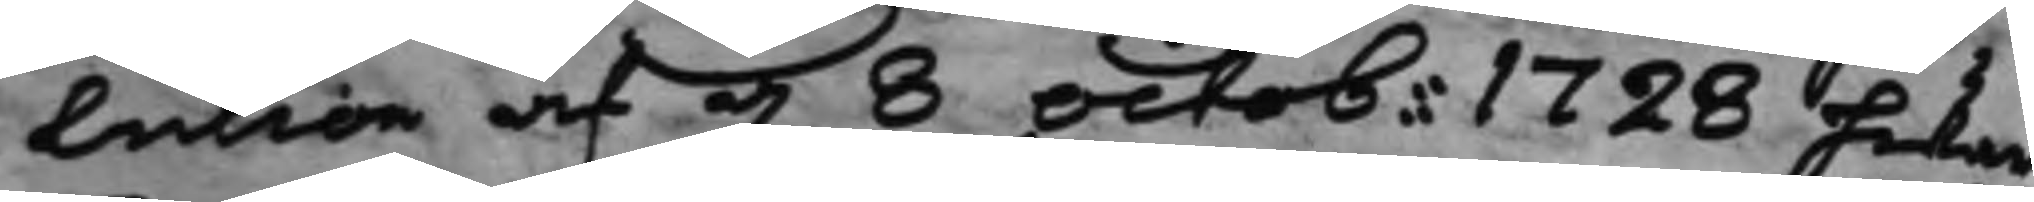lution af d. 8 Octob. 1728 hwar¬
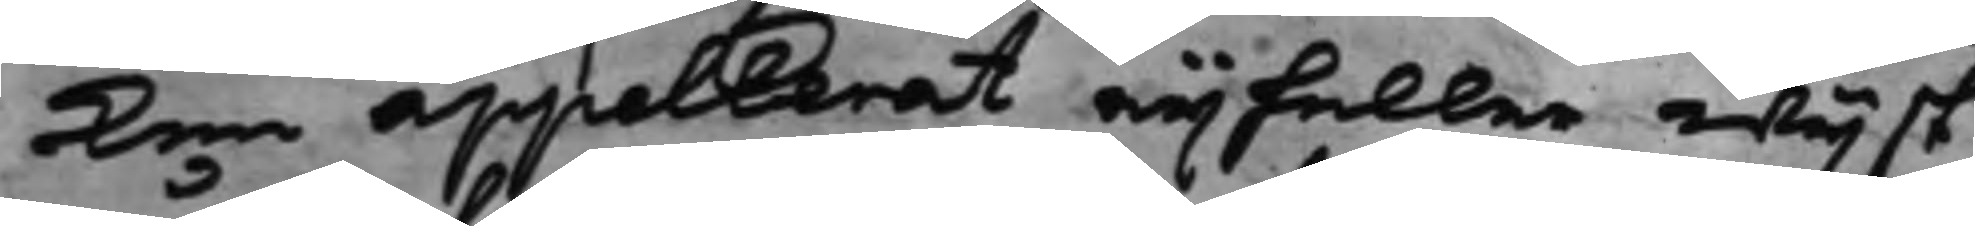ken appellerat eij heller wijst
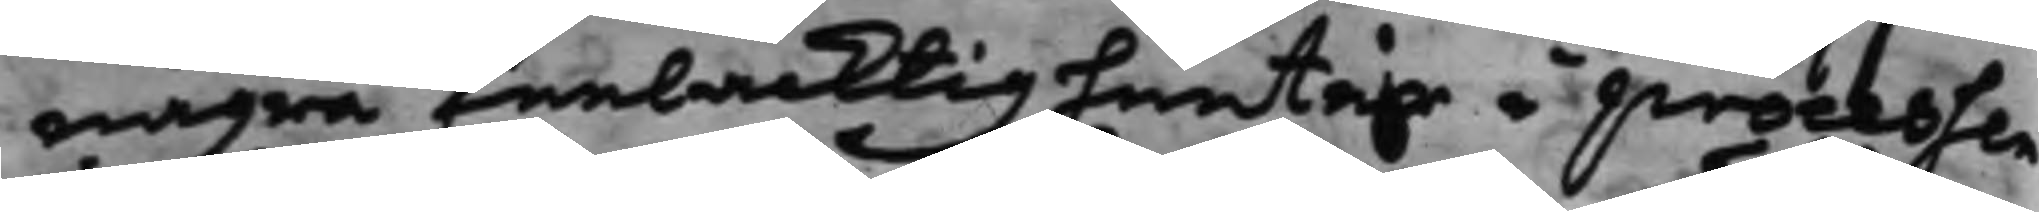några feelacktigheeter i processen
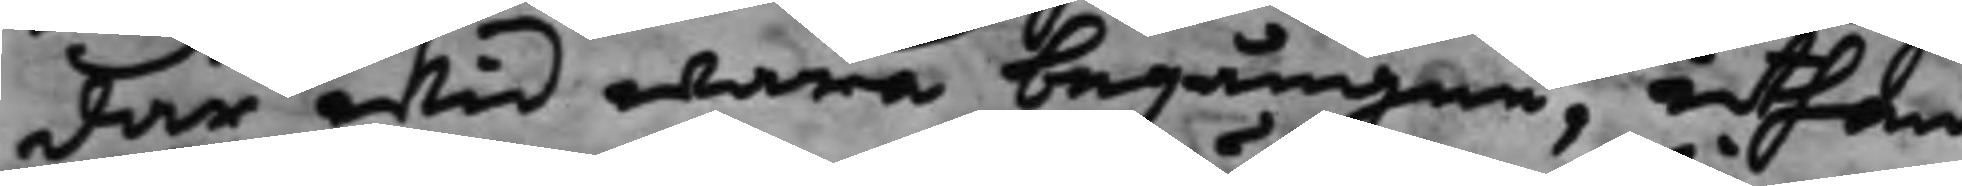där wid wara begångne, uthan
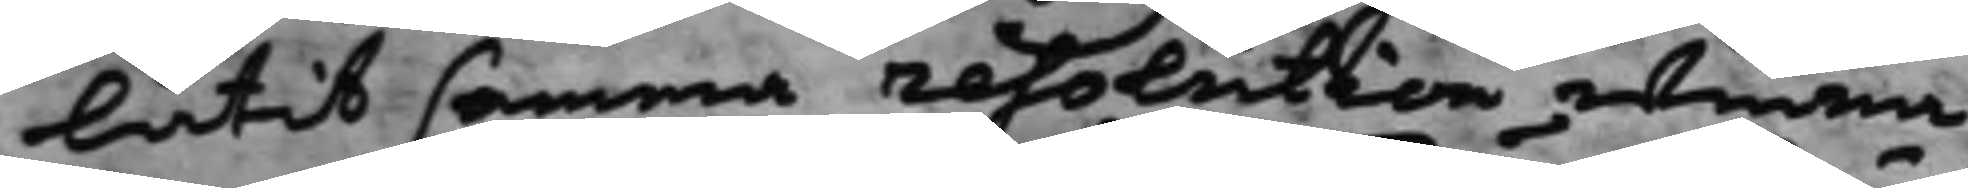låtit samma resolution winna
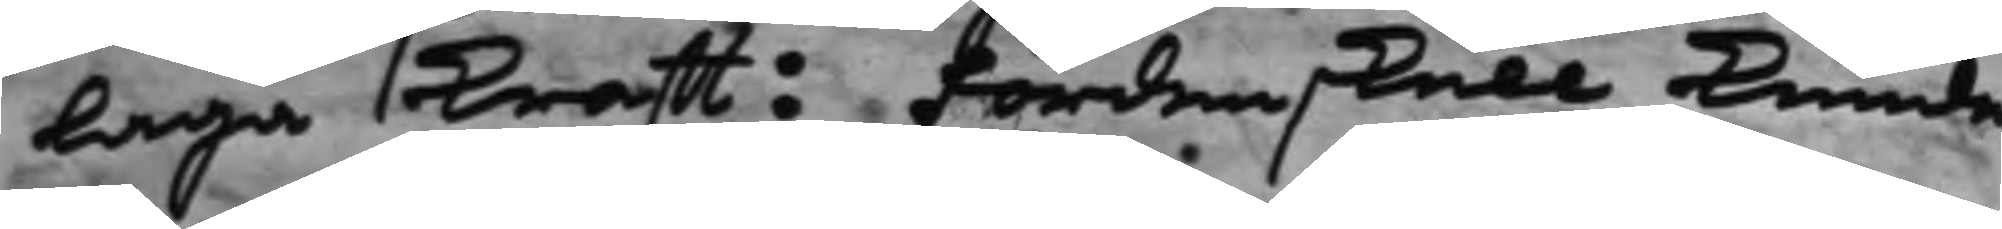laga krafft: Fördenskull kunde
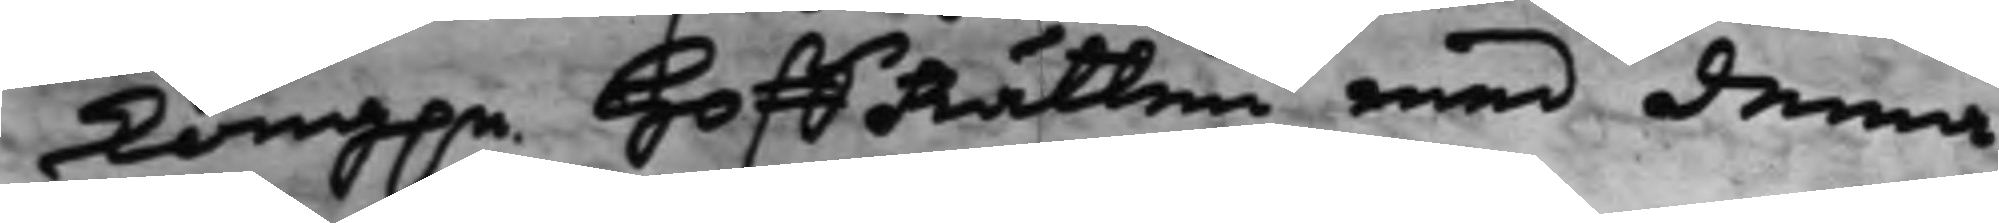Kong.e HoffRätten med denna
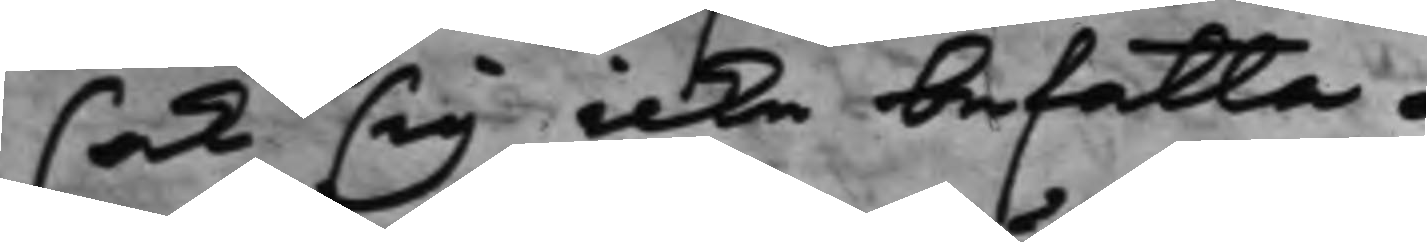sak sig icke befatta.
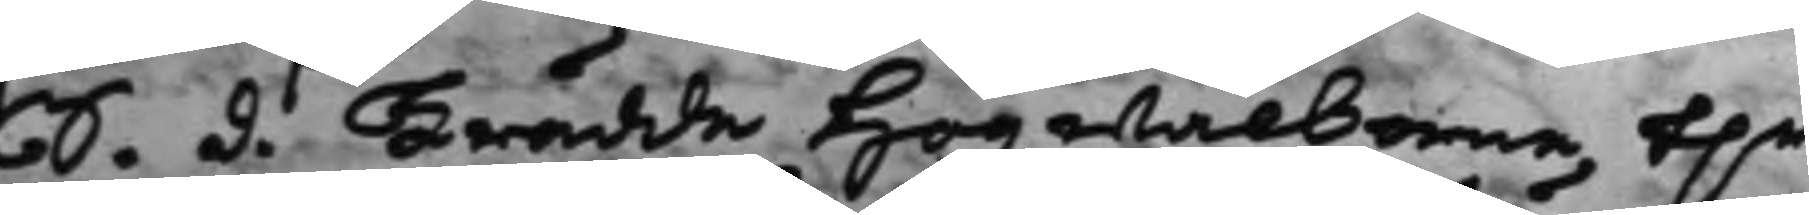S. d. Trädde Högwälborne h.r
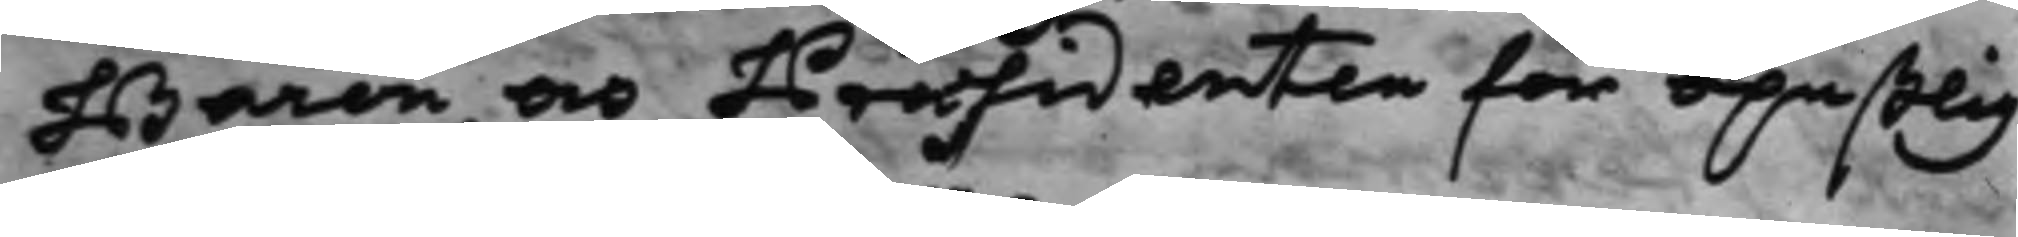Baron och Præsidenten för opaßlig¬
